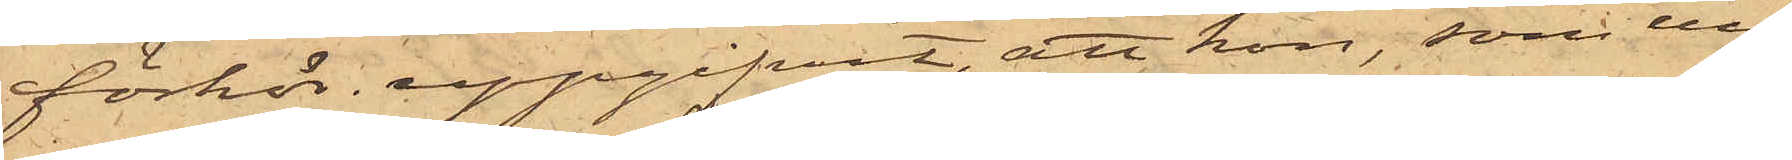förhör uppgifvit, att hon, som un¬
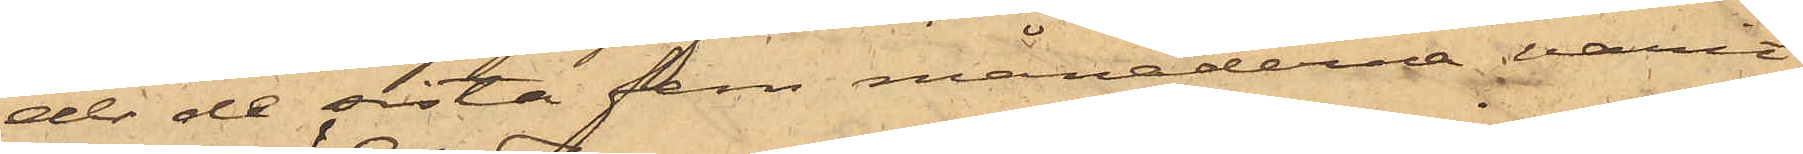der de sista fem månaderna varit
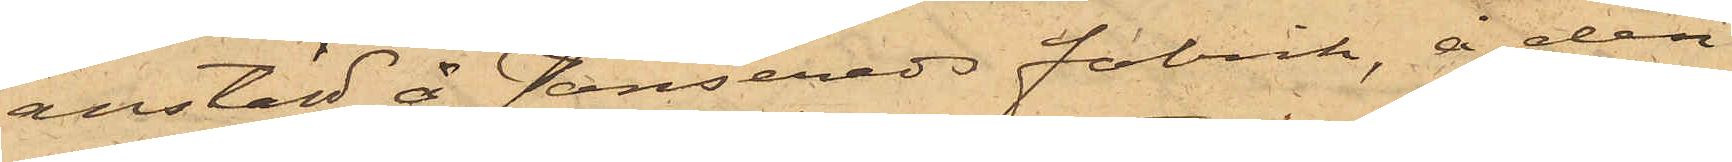anstäld å Jonsereds fabrik, å den
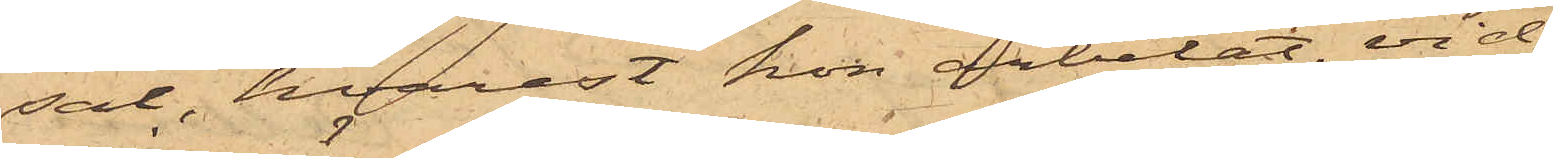sal, hvarest hon arbetat, vid
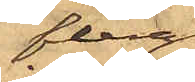flera
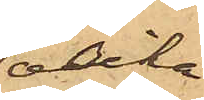olika
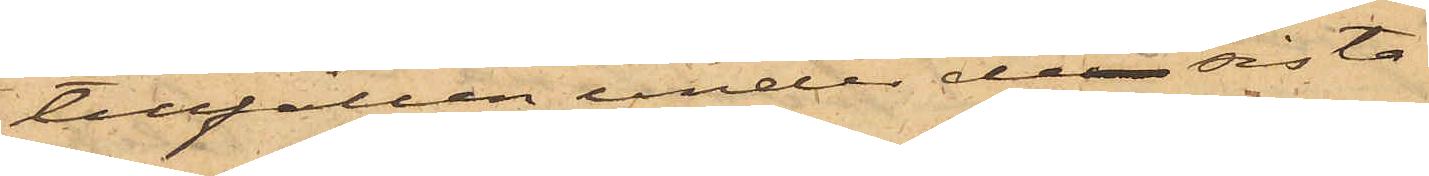tillfällen under de sista
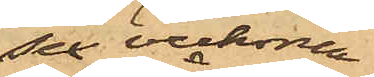se veckorna
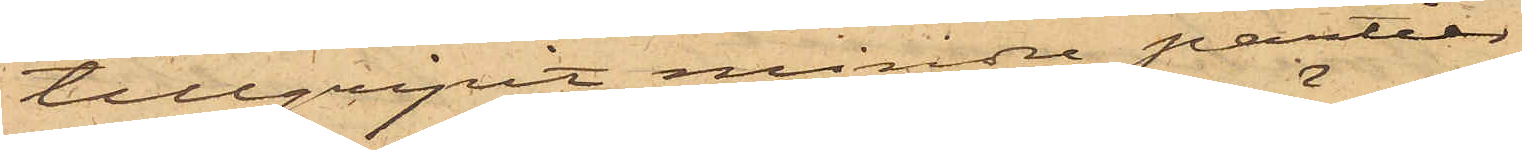tillgripit mindre partier
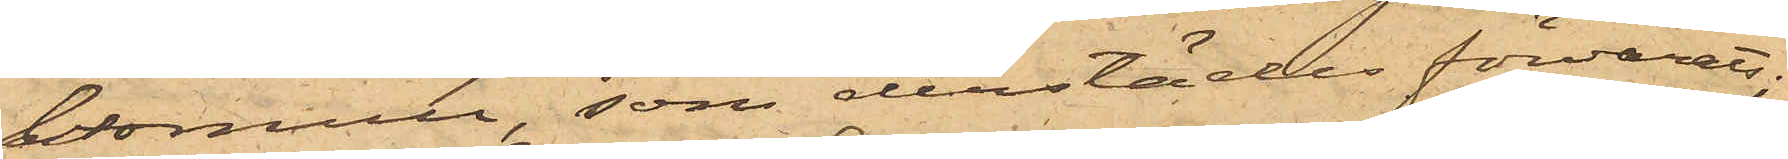bomull, som derstädes förvarats;
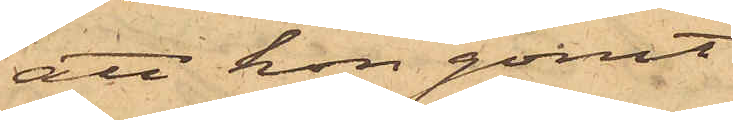att hon gömt
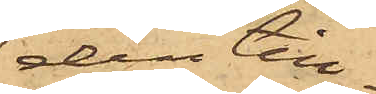den till¬
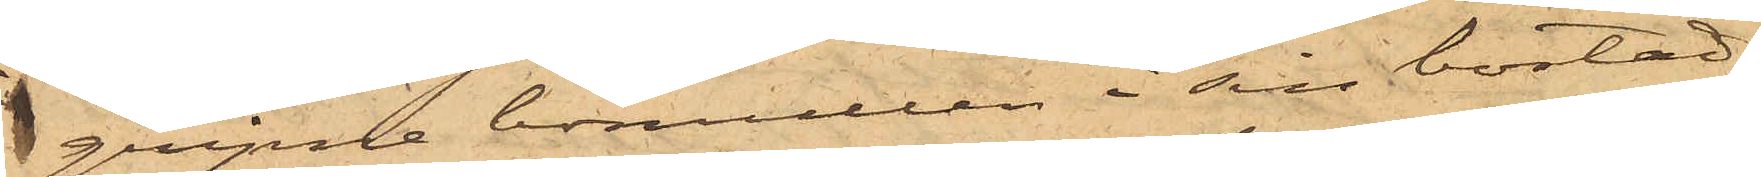gripne bomullen i sin bostad,
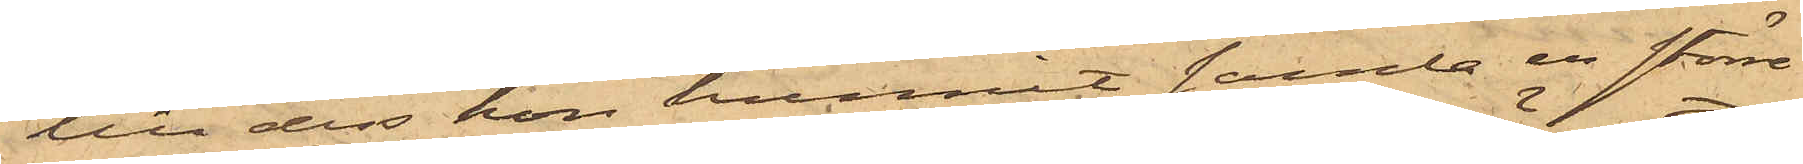till dess hon hunnit samla en större
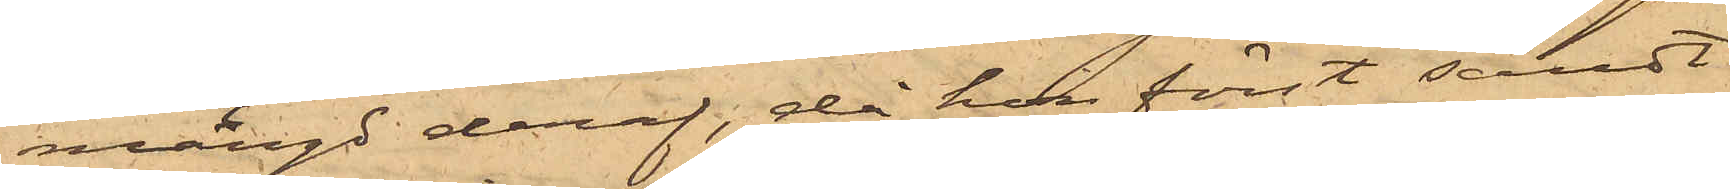mängd deraf, då hon först sändt
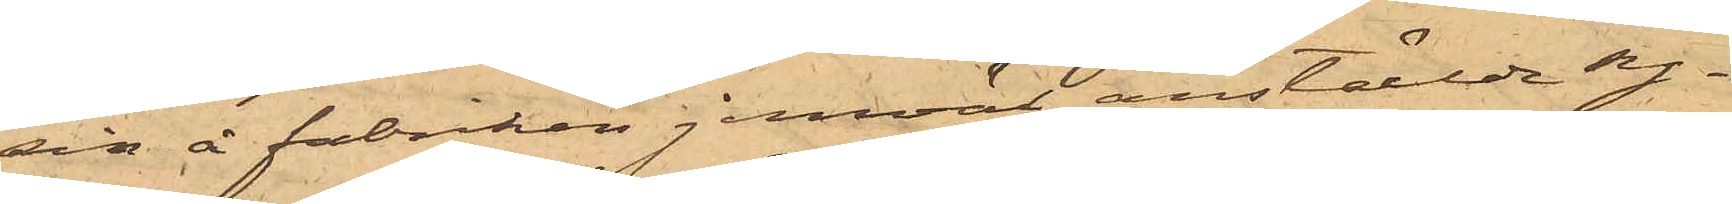sin å fabriken jemväl anställda sy¬
